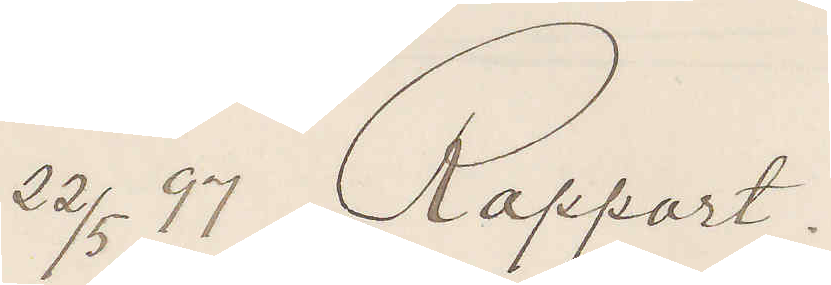22/5 97 Rapport.
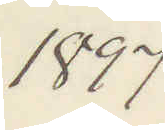1897
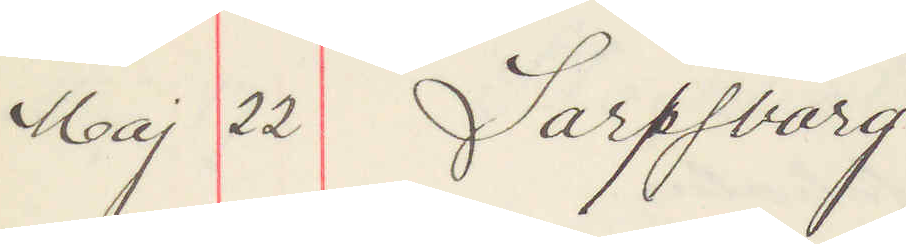Maj 22 Sarpsborg
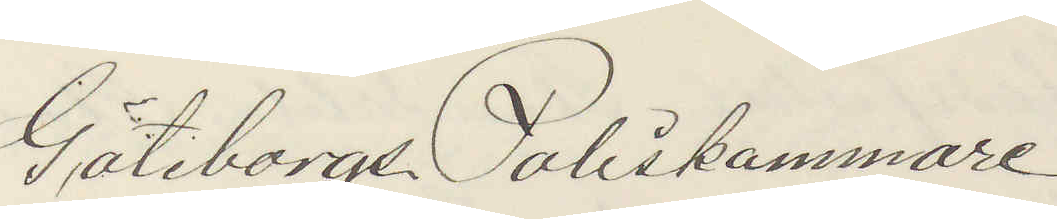Göteborgs Poliskammare
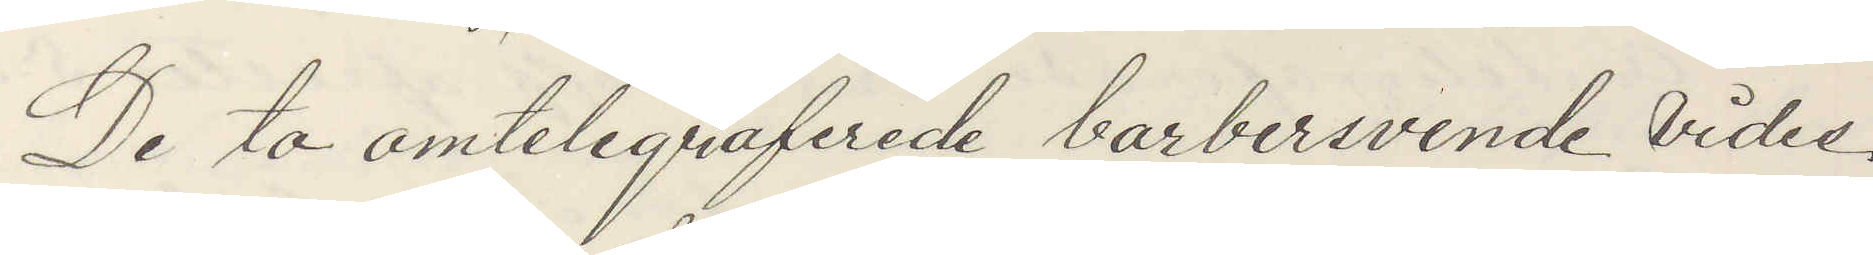De to omtelegraferade barbersvende Vides
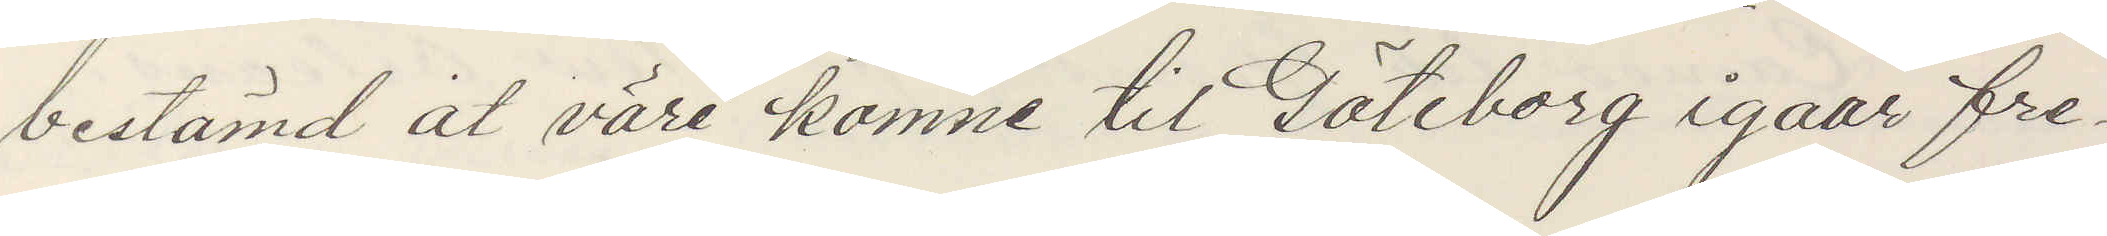bestämd at väre komne til Göteborg igaar fre¬
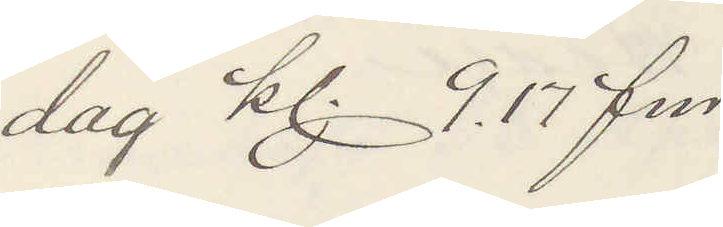dag kl 9.17 fm
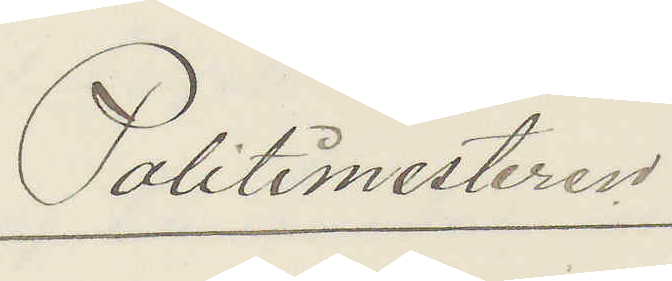Politimesteren
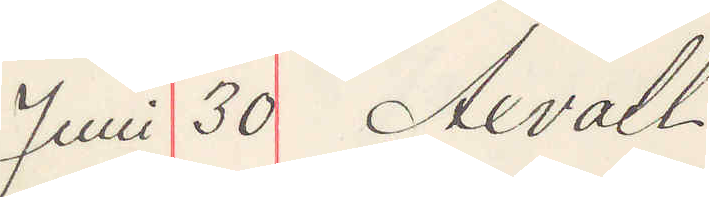Juni 30 Axvall
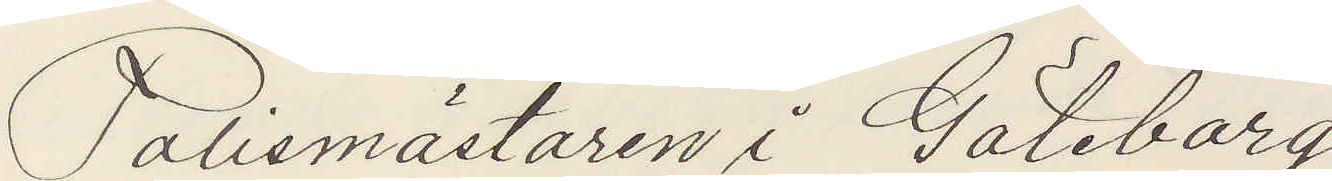Polismästaren i Göteborg
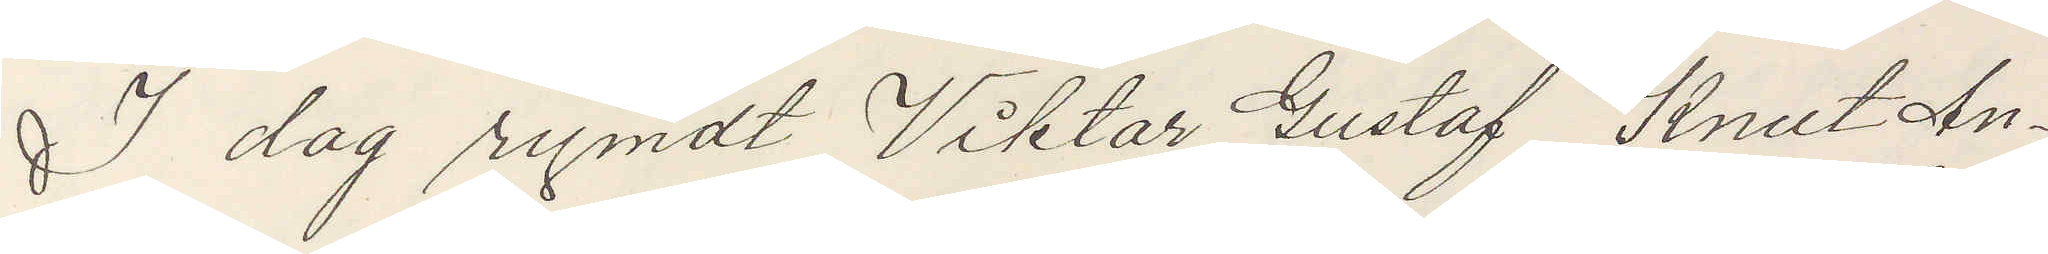I dag rymdt Viktor Gustaf Knut An¬
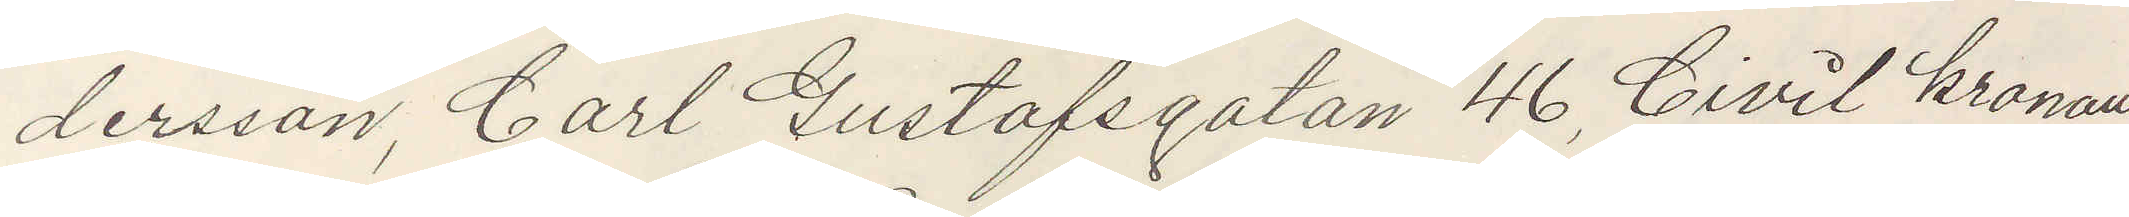dersson, Carl Gustafsgatan 46, Civil kronans
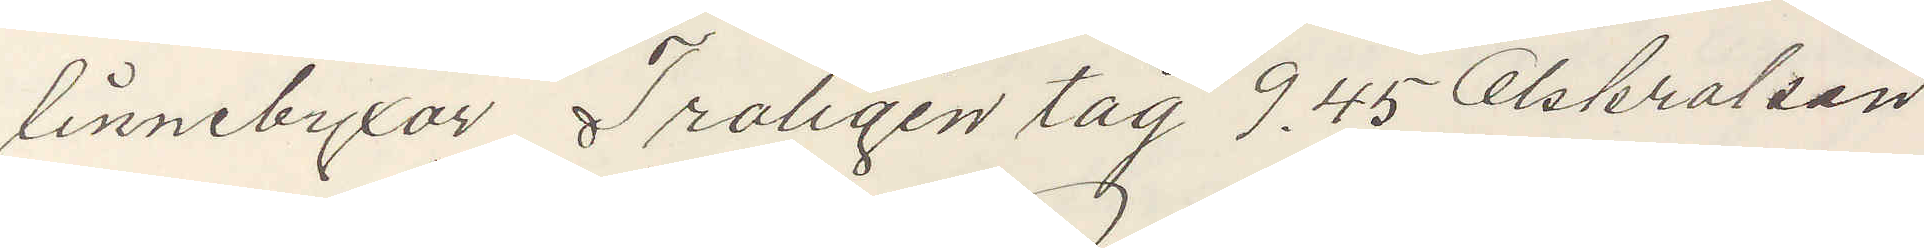linnebyxor, Troligen tåg 9.45 Olskroken
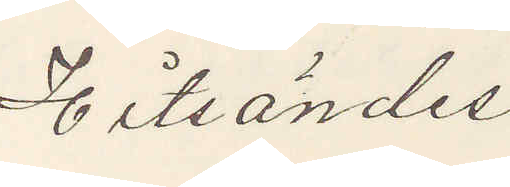Hitsändes
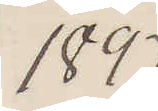1897
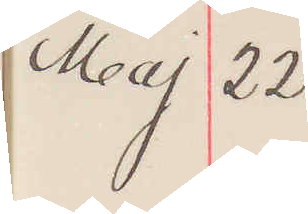Maj 22
